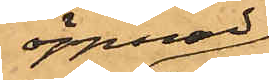öppnad
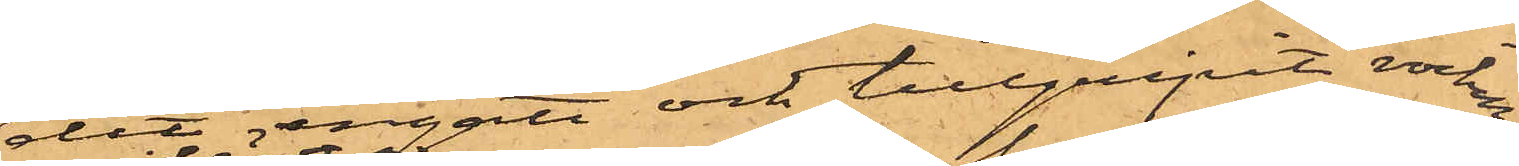dit ingått och tillgripit rocken;
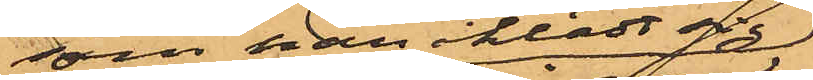som han iklädt sig
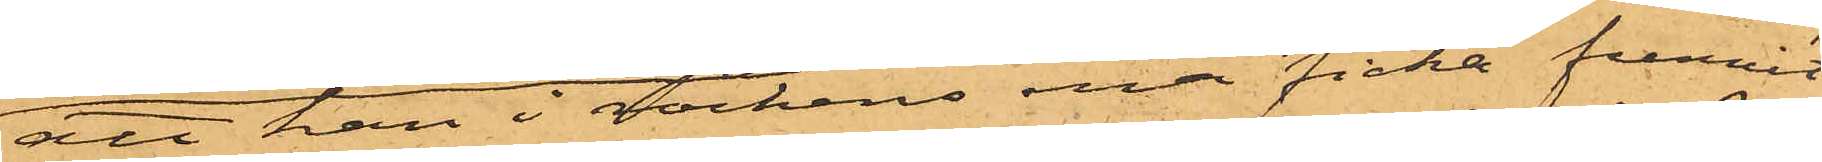att han i rockens ena ficka funnit
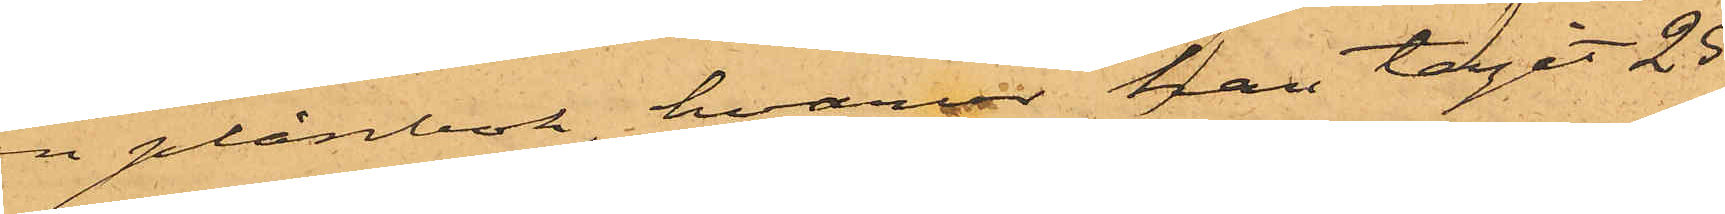en plånbok, hvarur han tagit 25
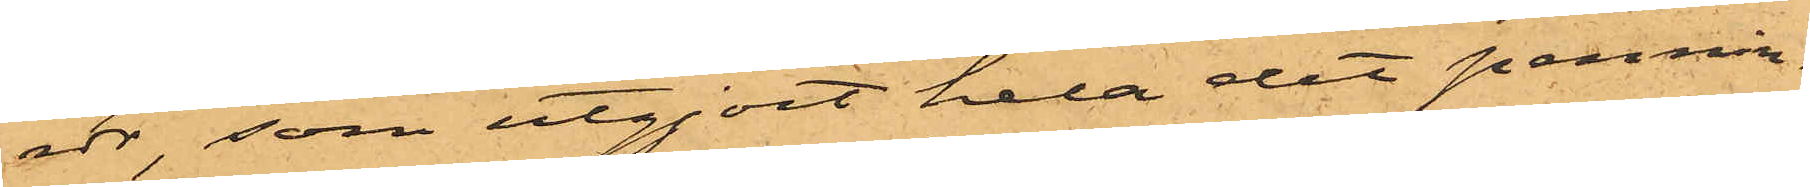rdr, som utgjort hela det pennin¬
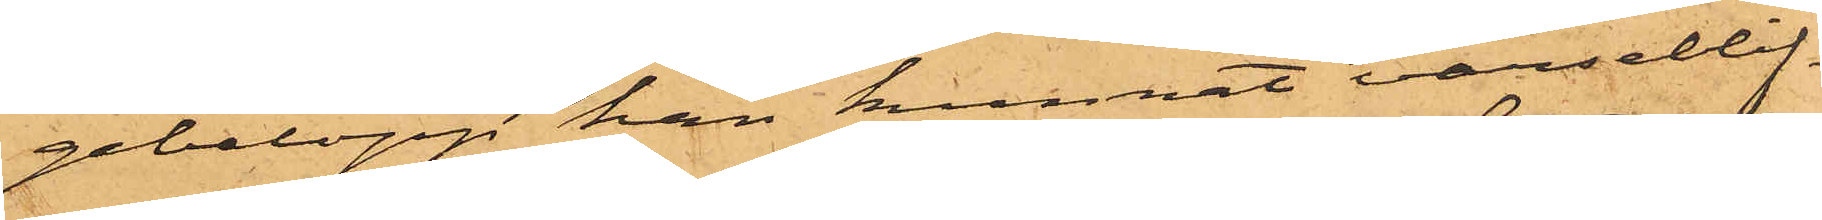gebelopp han kunnat varseblif¬
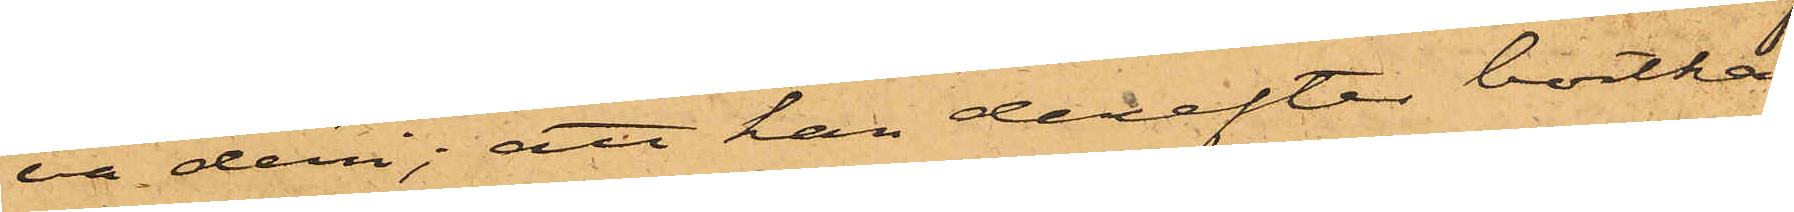va deri; att han derefter bortka¬
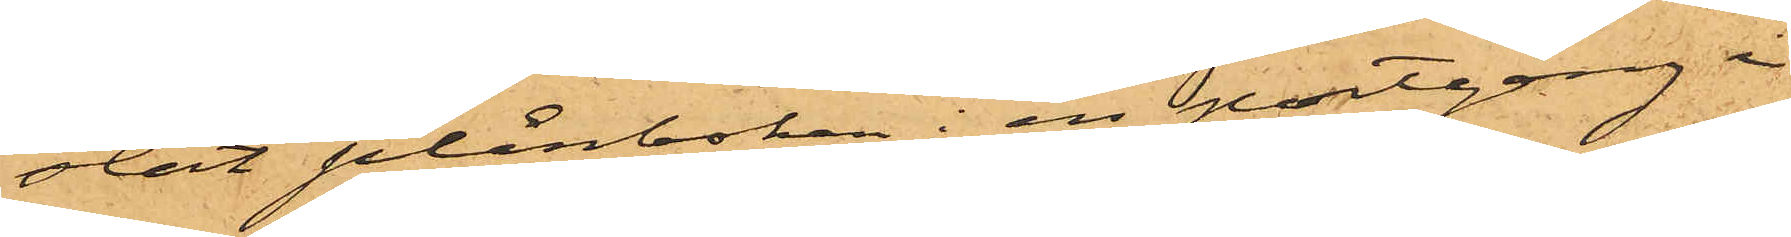stat plånboken i en portgång i
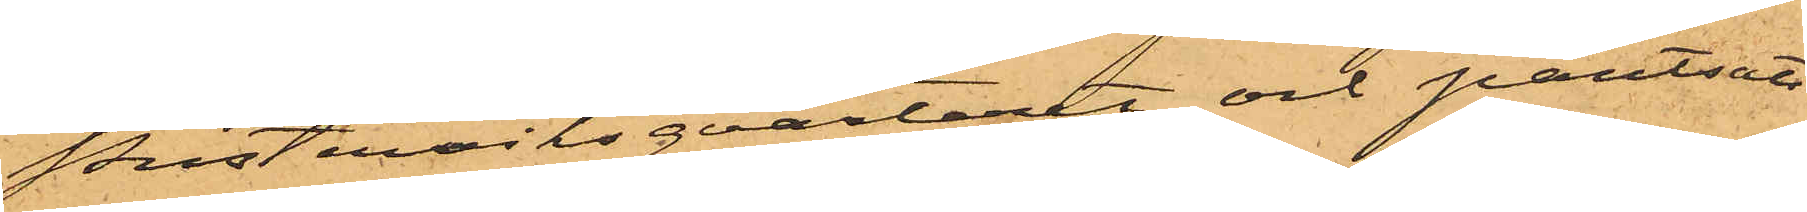Pusterviksqvarteret och pantsatt
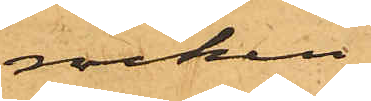rocken
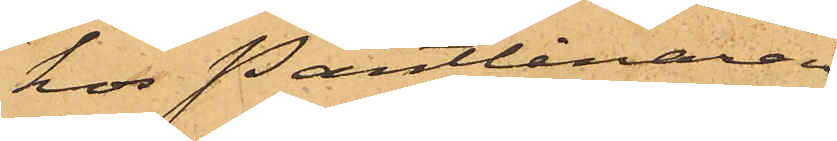hos Pantlånaren
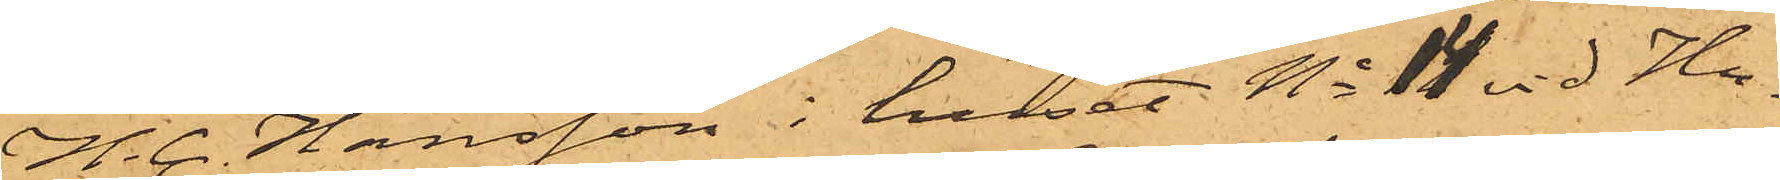H. C. Hansson i huset No 14 vid Hu¬
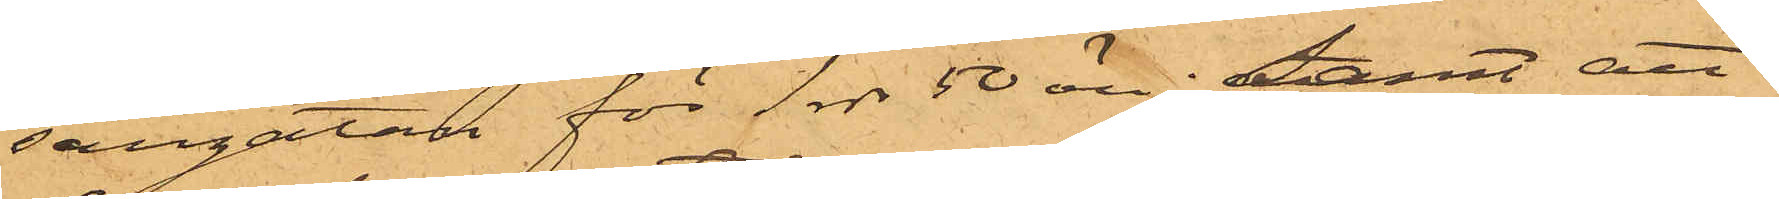sargatan för 1 rdr 50 öre; Samt att
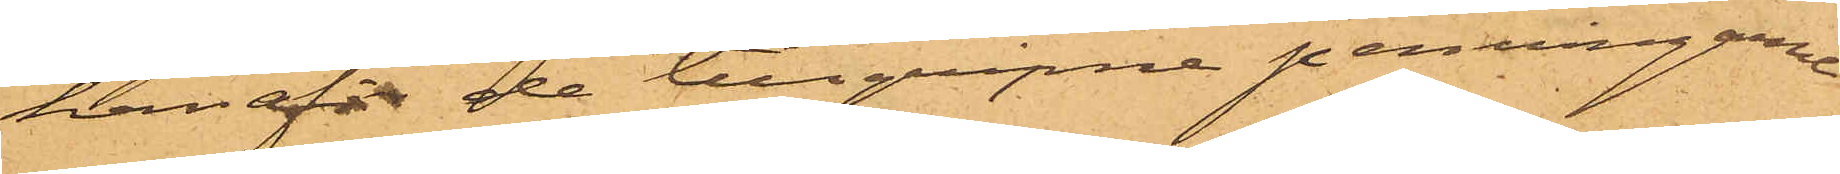han af de tillgripne penningarne
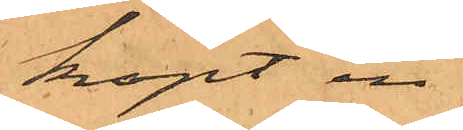köpt en
